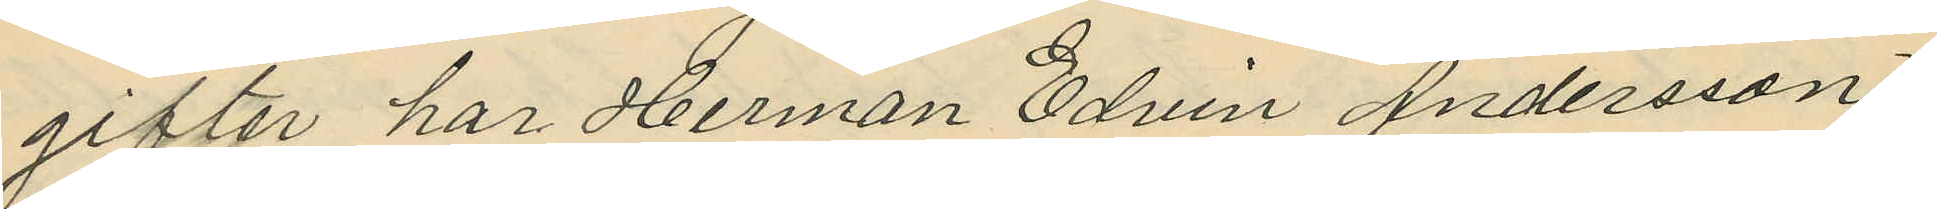gifter har Herman Edvin Andersson
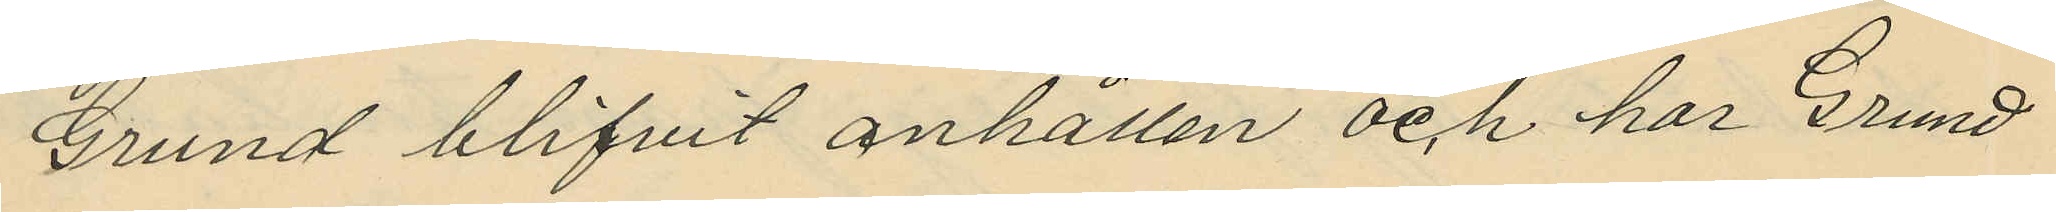Grund blifvit anhållen och har Grund
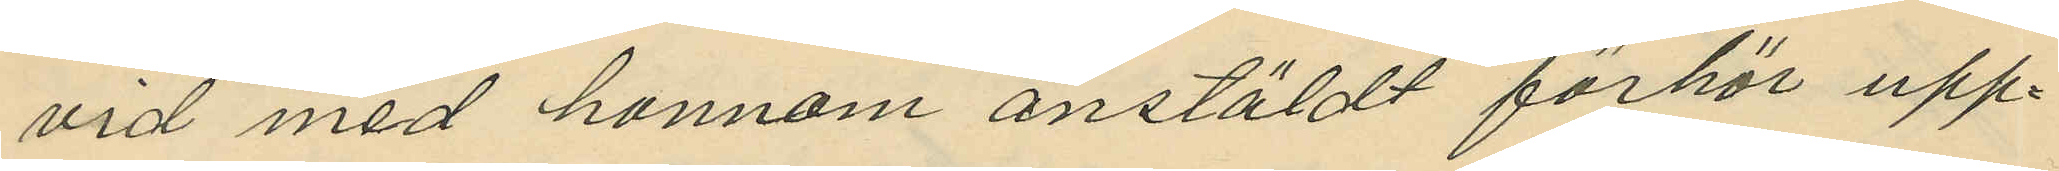vid med honnom anstäldt förhör upp¬
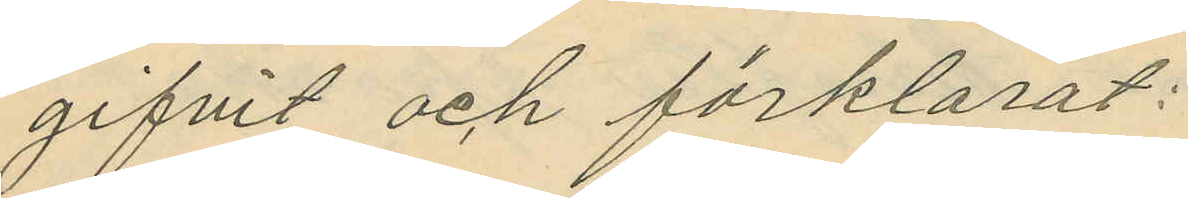gifvit och förklarat:
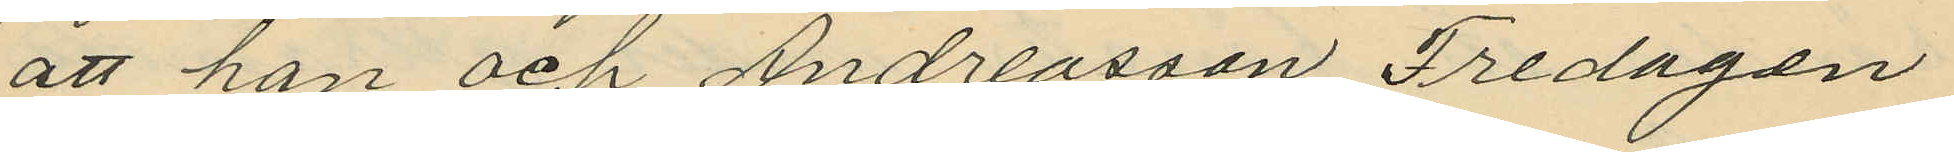att han och Andreasson Fredagen
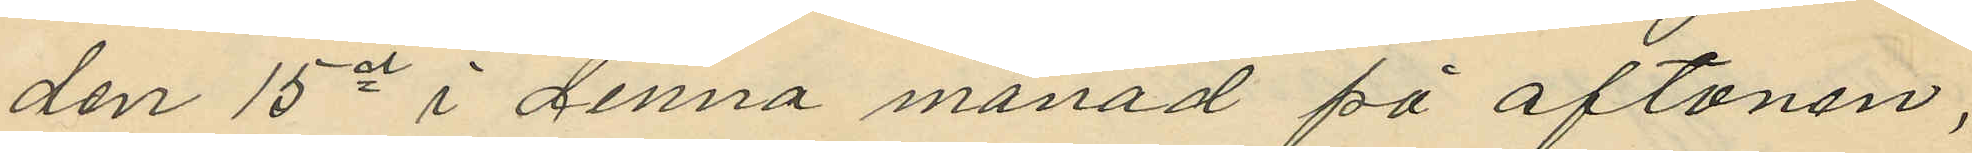den 15de i denna månad på aftonen,
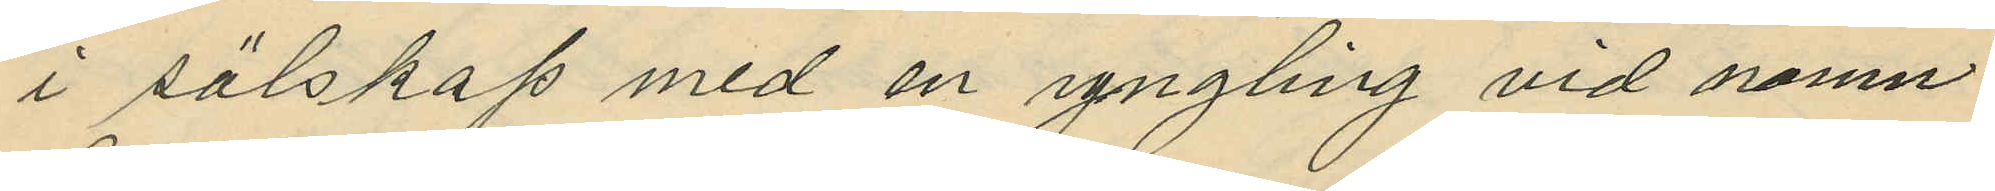i sälskap med en yngling vid namn
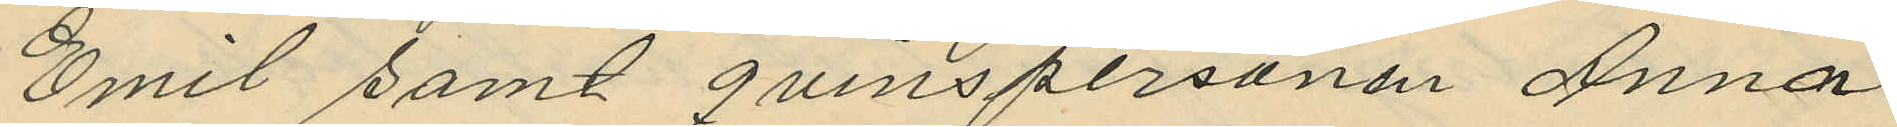Emil samt qvinspersonen Anna
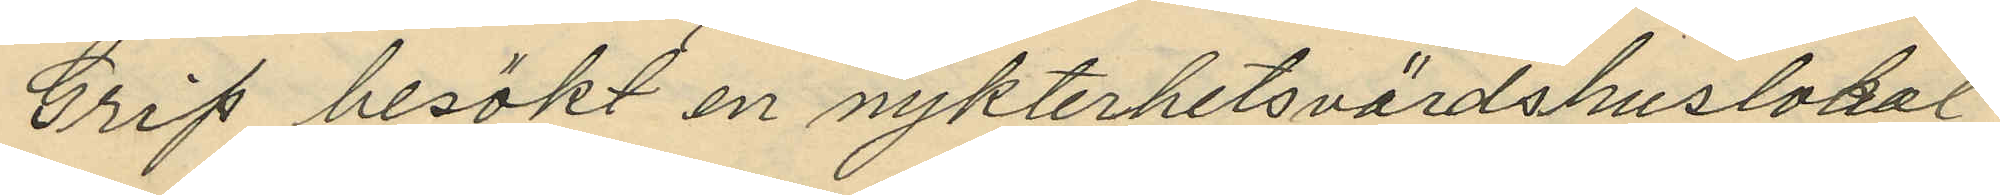Grip besökt en nykterhetsvärdshuslokal
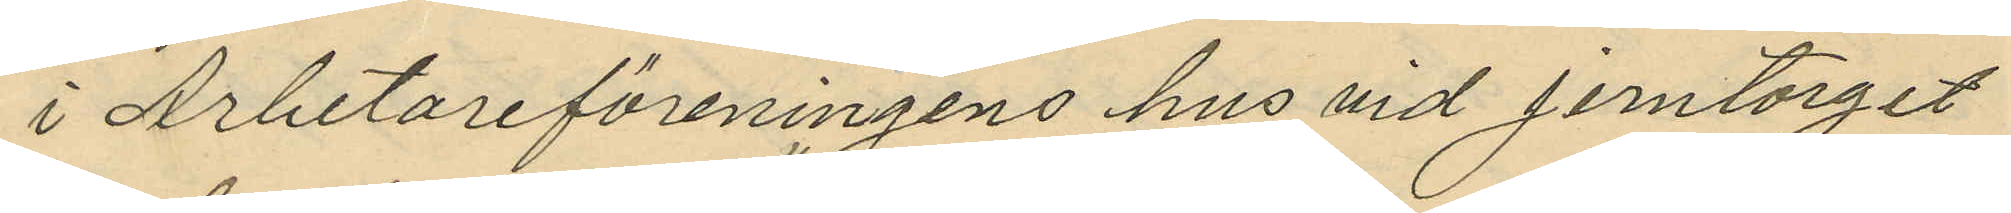i Arbetareföreningens hus vid Jerntorget
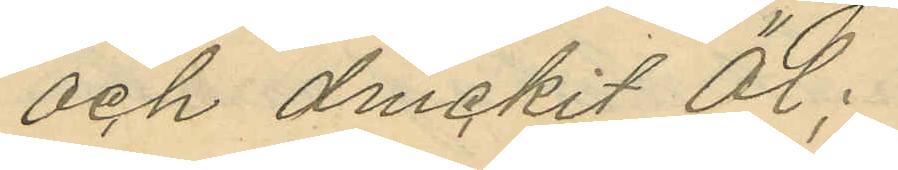och druckit öl;
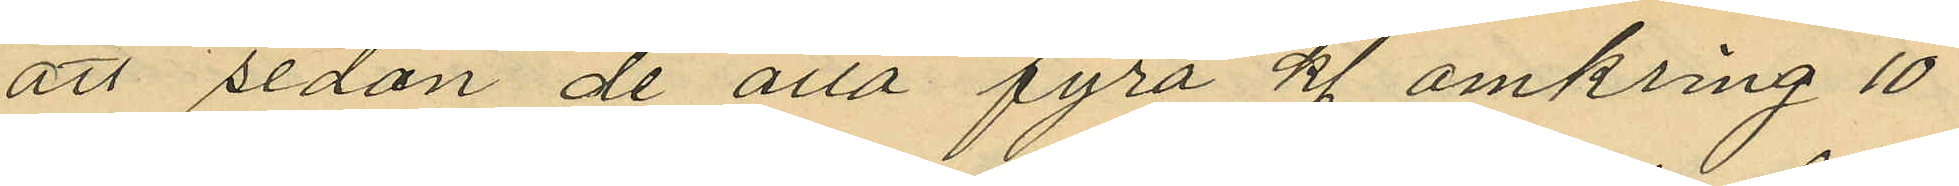att sedan de alla fyra kl omkring 10
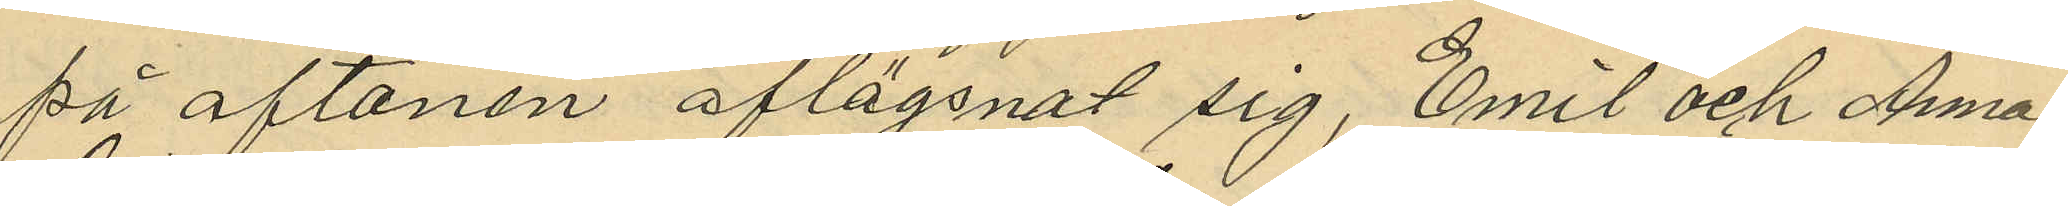på aftonen aflägsnat sig, Emil och Anna
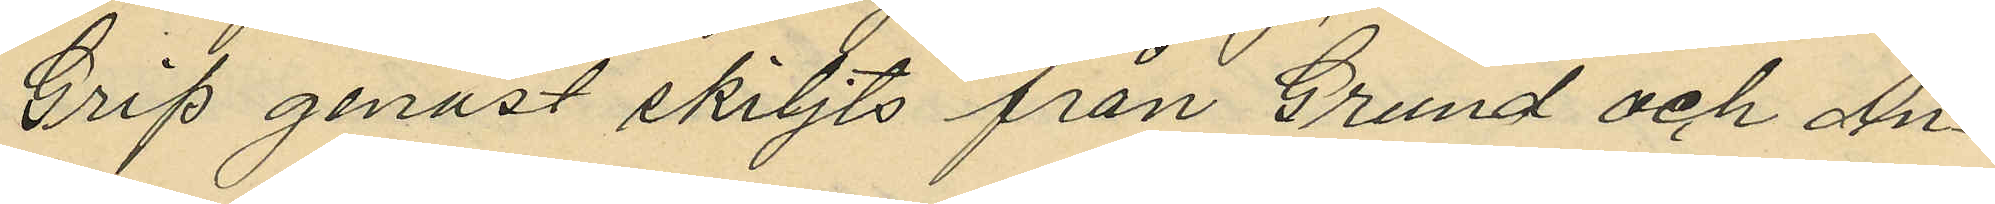Grip genast skiljts från Grund och An¬
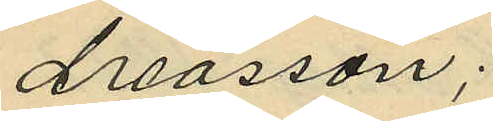dreasson;
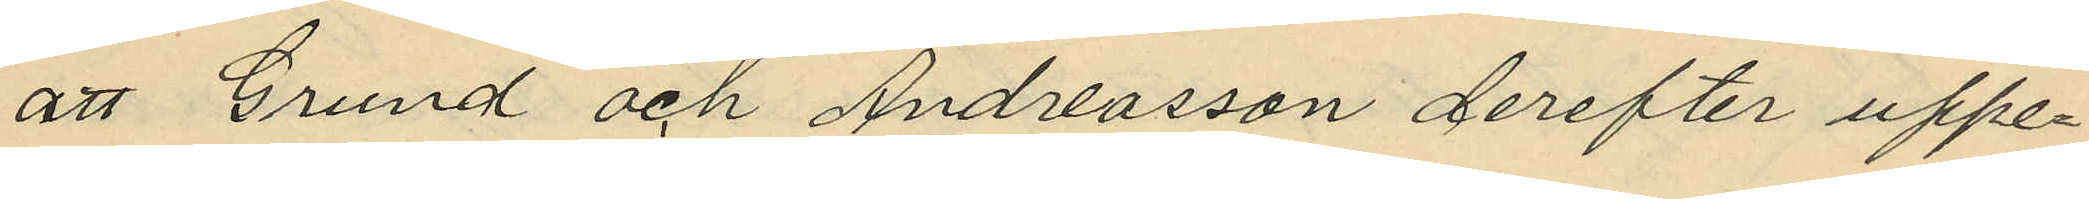att Grund och Andreasson derefter uppe¬
